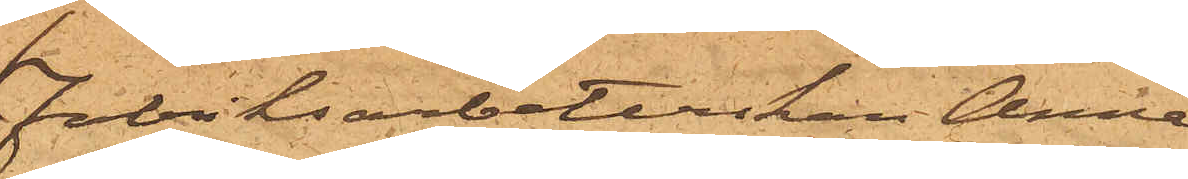fabriksarbeterskan Anna
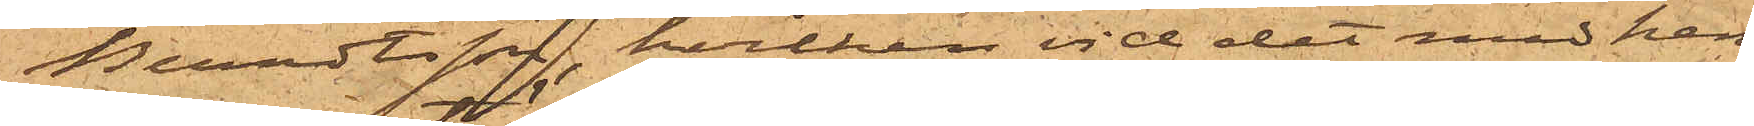Berndtsson, hvilken vid det med hen¬
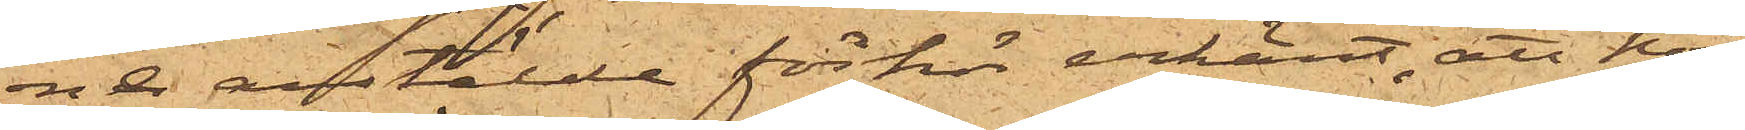ne anstälde förhör erkänt, att hon
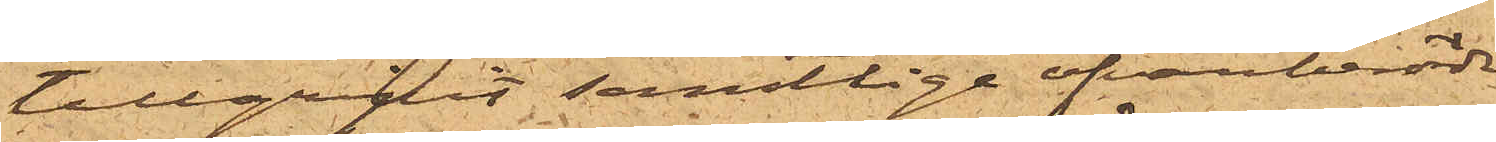tillgripit samtlige ofvanberörde
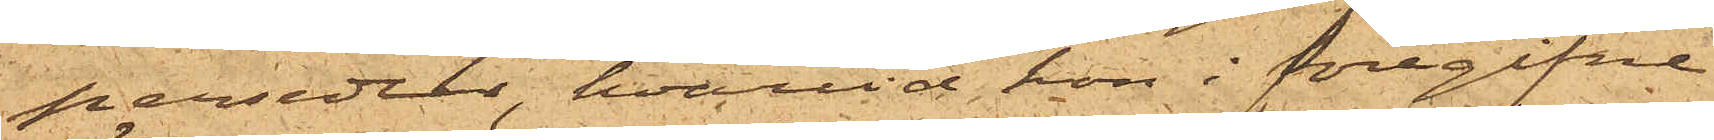persedlar, hvarvid hon i föregifne
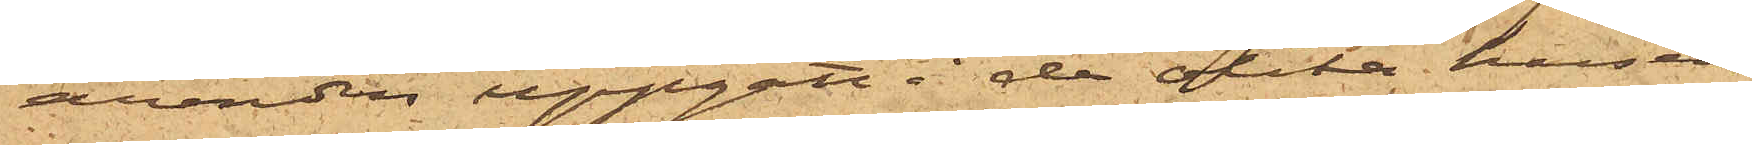ärenden uppgått i de olika husen;
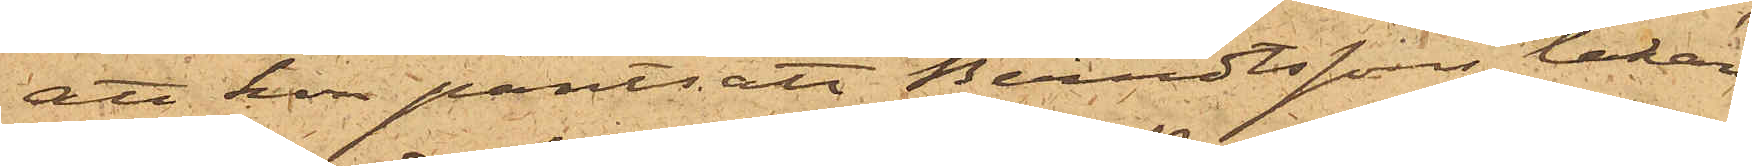att hon pantsatt Berndtssons lakan
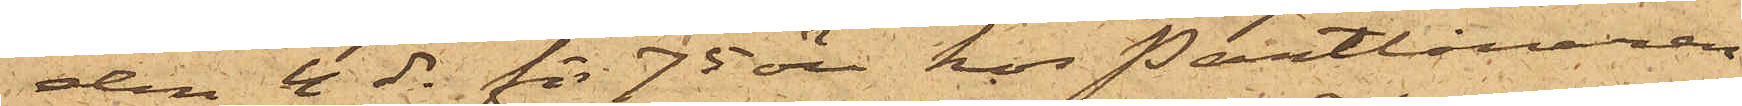den 4 ds för 75 öre hos Pantlånaren
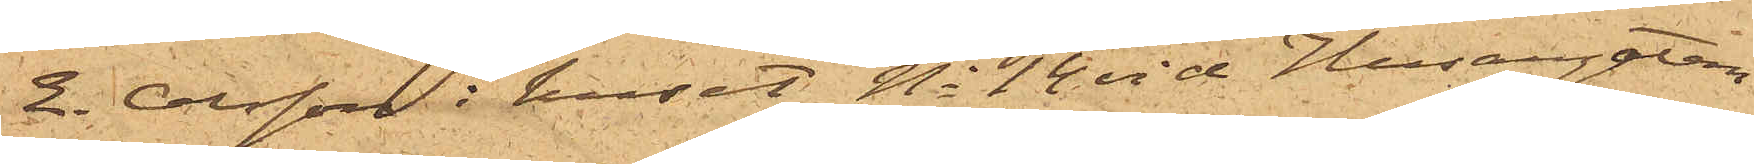E. Olsson i huset No 14 vid Husargatan
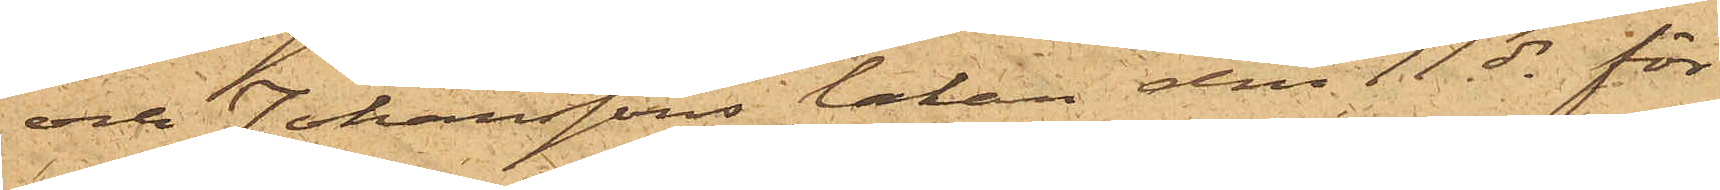och Johanssons lakan den 11 ds för
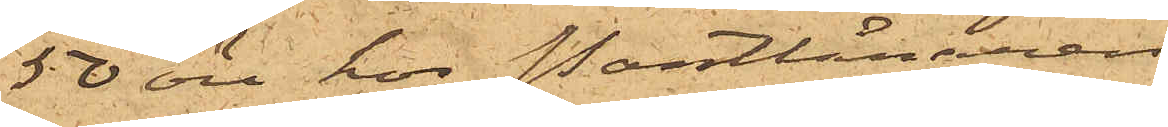50 öre hos Pantlånaren
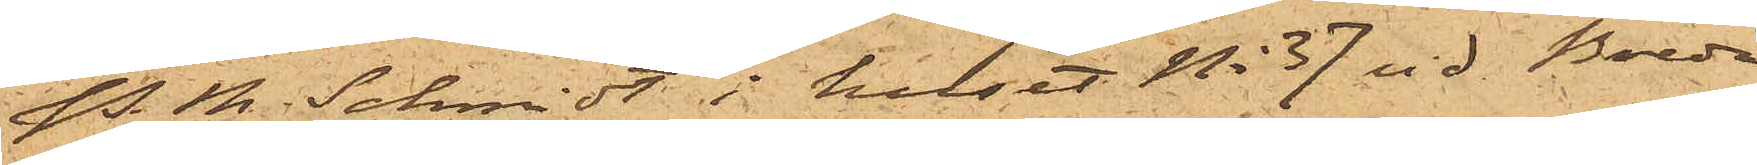P. M. Schmidt i huset No 37 vid Breda
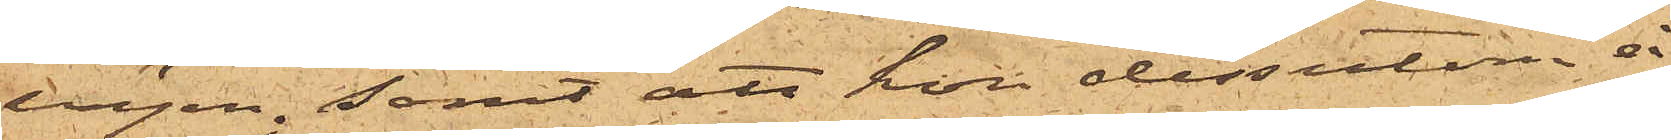vägen; samt att hon dessutom å
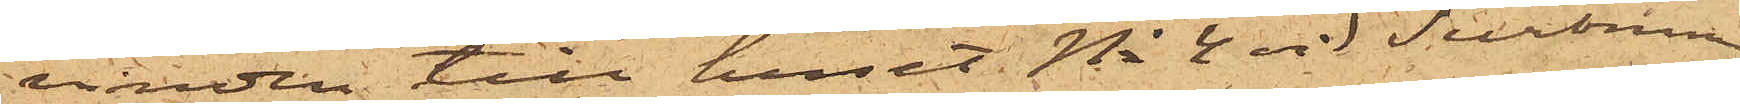vinden till huset No 4 vid Surbrunn
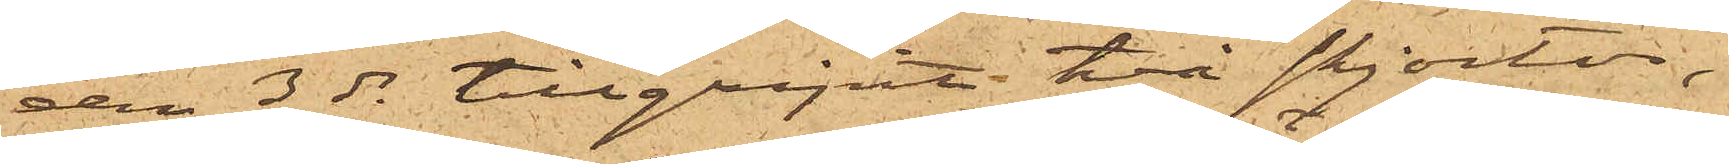den 3 ds tillgripit två skjortor,
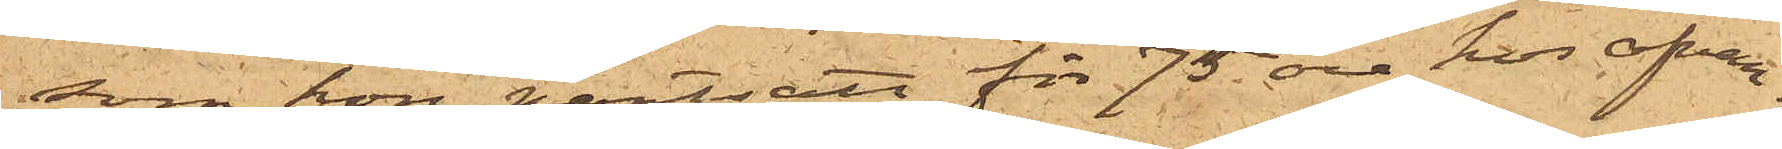som hon pantsatt för 75 öre hos ofvan¬
